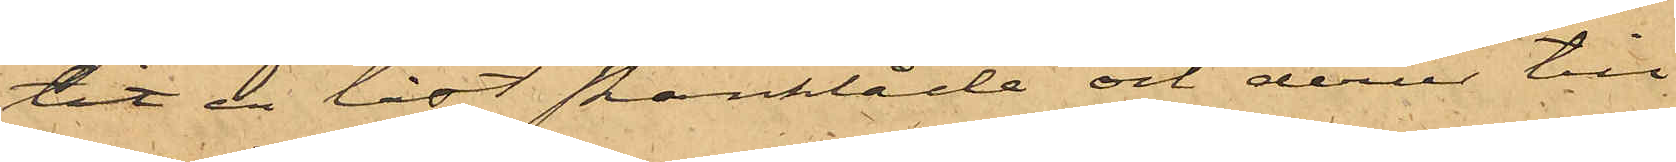tit en låst skänklåda och derur till¬
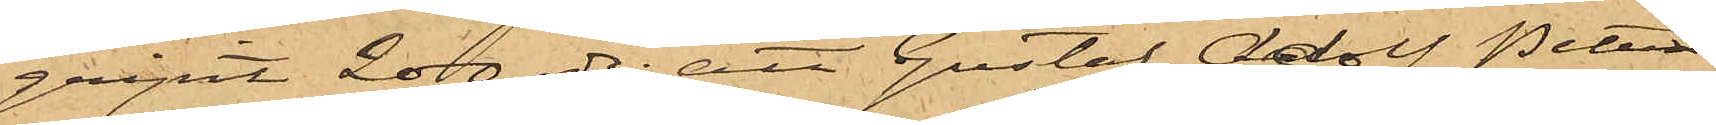gripit 200 rdr; att Gustaf Adolf Peter¬
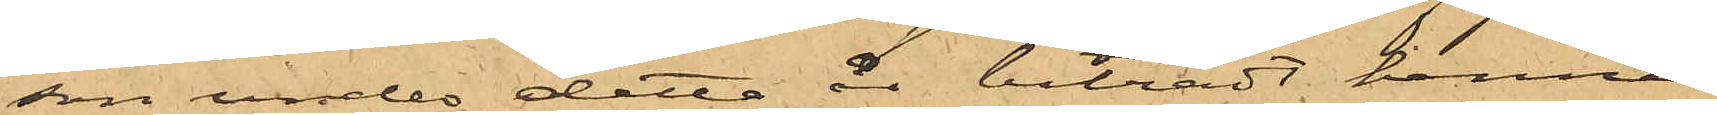son under detta år biträtt henne
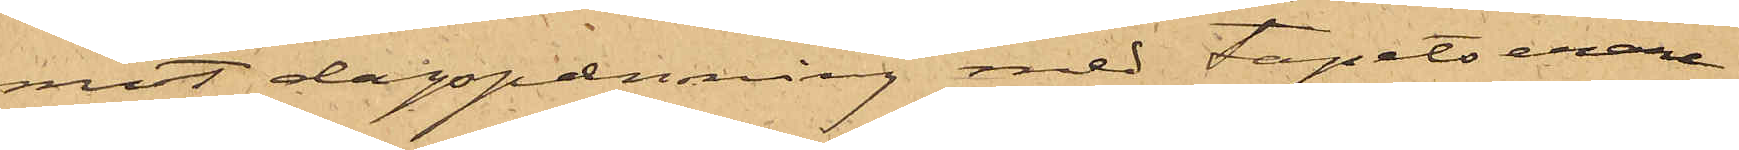mot dagspenning med tapetserare¬
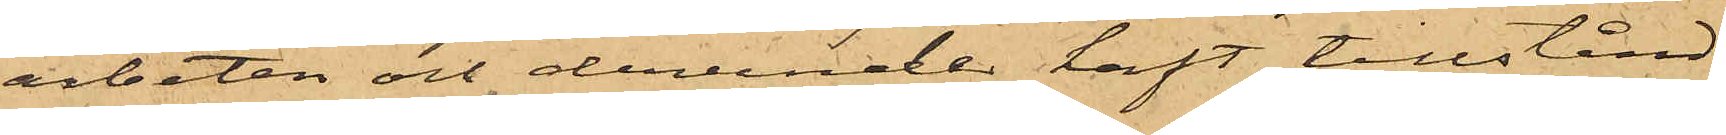arbeten och derunder haft tillstånd
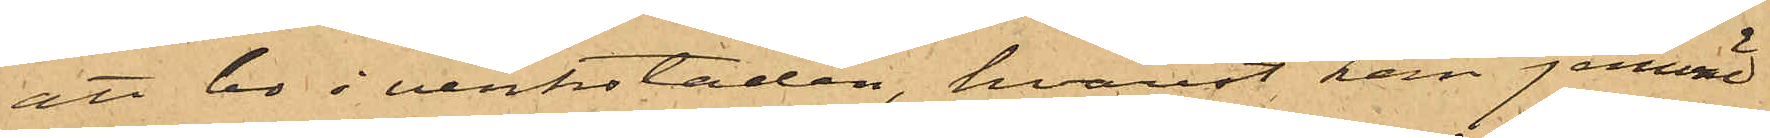att bo i verkstaden, hvarest han jemväl
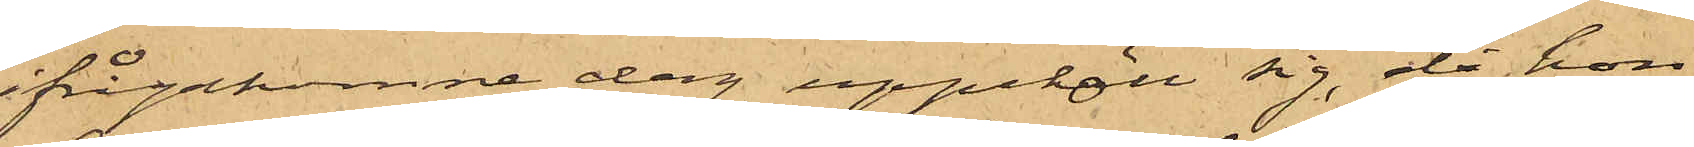ifrågakomne dag uppehöll sig, då hon
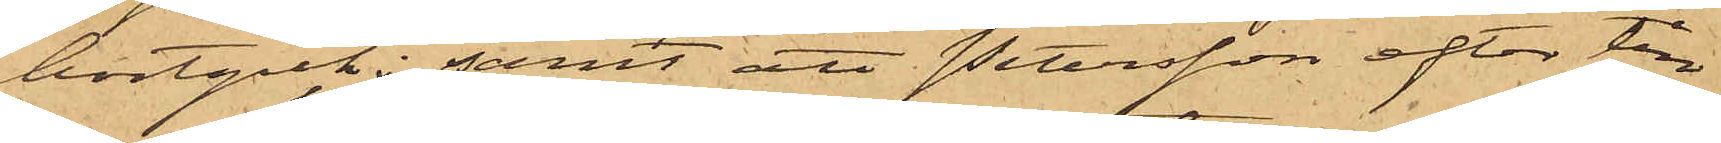bortgick; samt att Petersson efter till¬
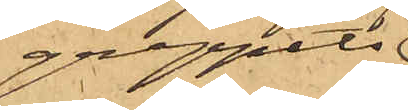greppets
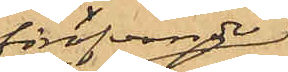föröfvande
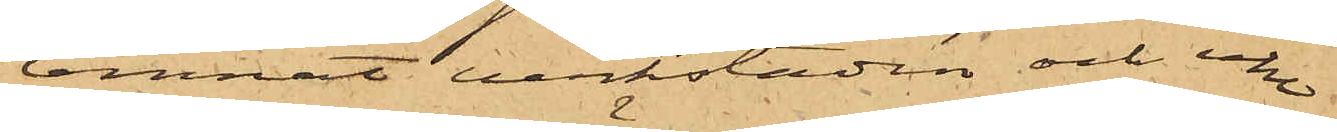lemnat verkstaden och icke
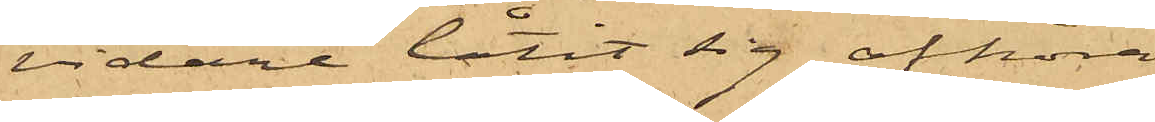vidare låtit sig afhöra.
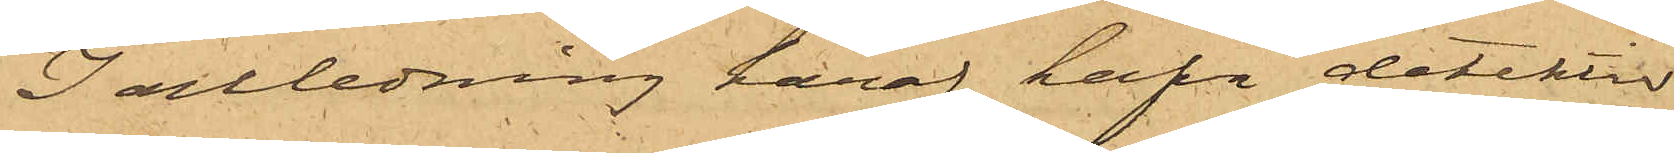I anledning häraf hafva detektiv¬
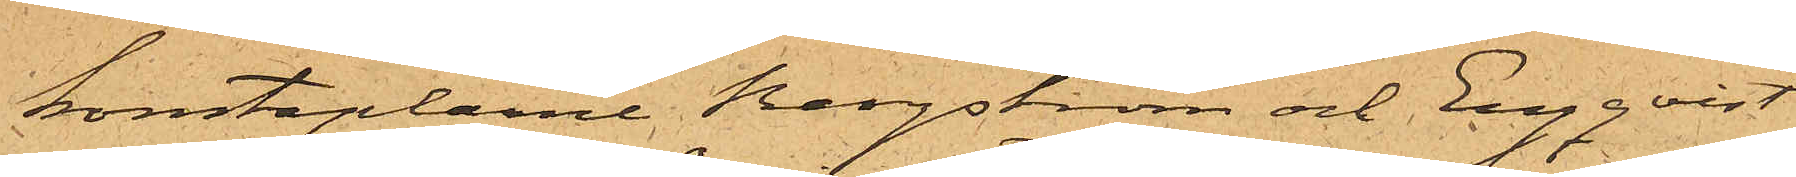konstaplarne Bergström och Engqvist
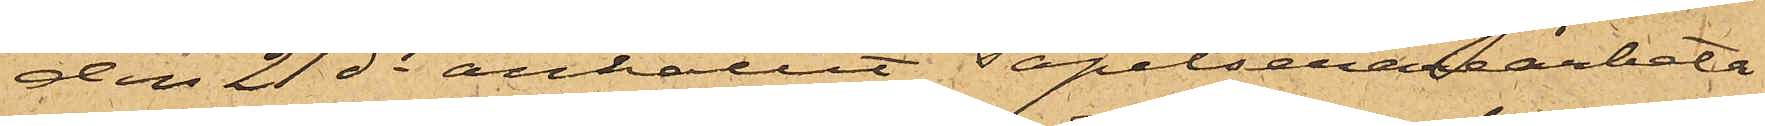den 21 ds anhållit Tapetserarearbeta¬
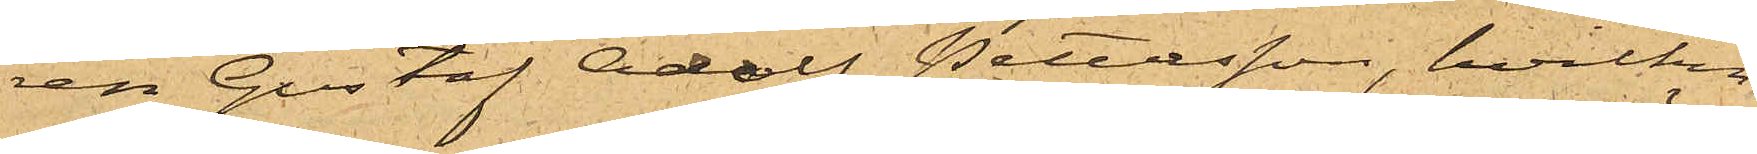ren Gustaf Adolf Petersson, hvilken
